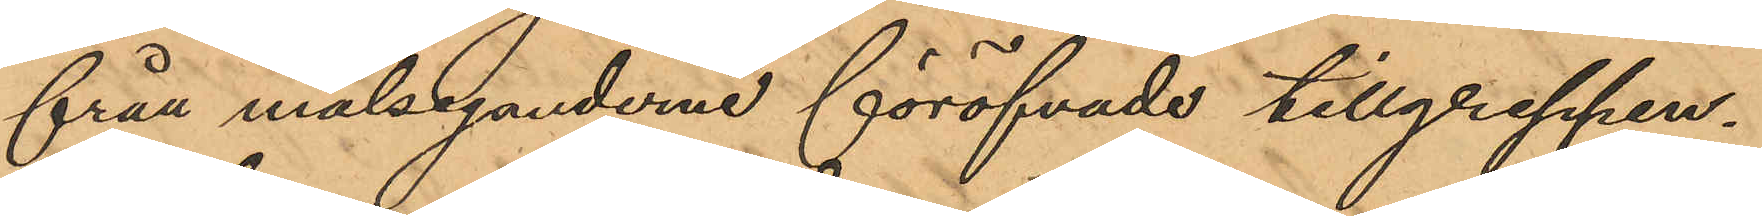från målseganderne föröfvade tillgreppen.
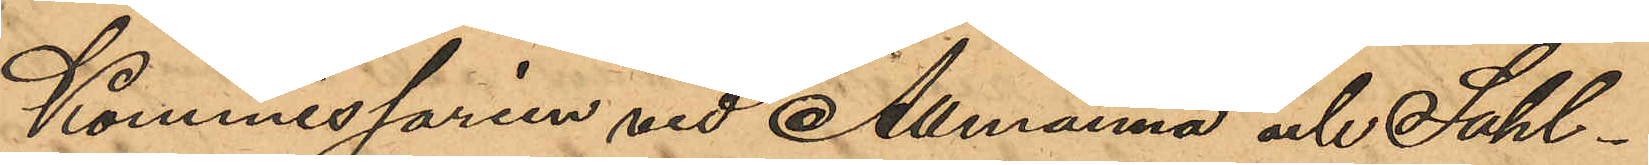Kommissarien vid Allmänna och Sahl¬
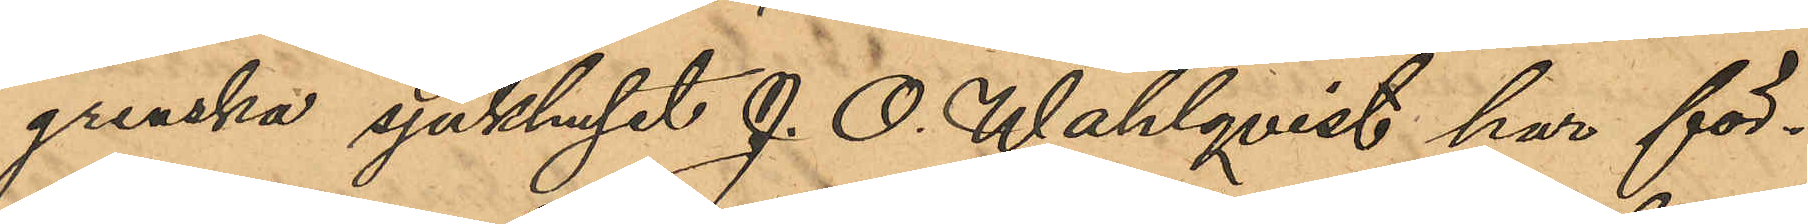grenska sjukhuset J. O. Wahlqvist har för¬
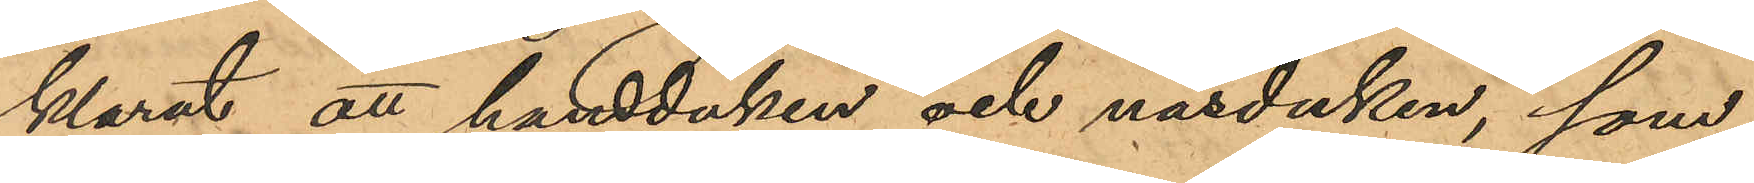klarat att handduken och näsduken, som
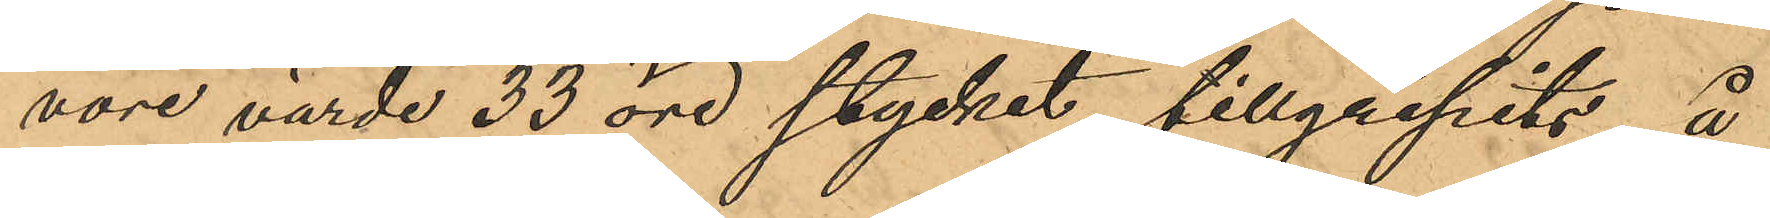vore värde 33 öre stycket tillgripits å
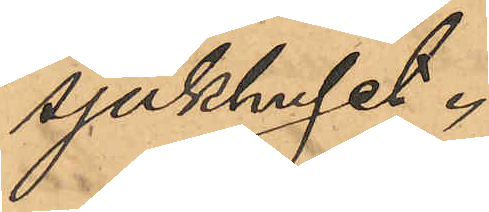sjukhuset.
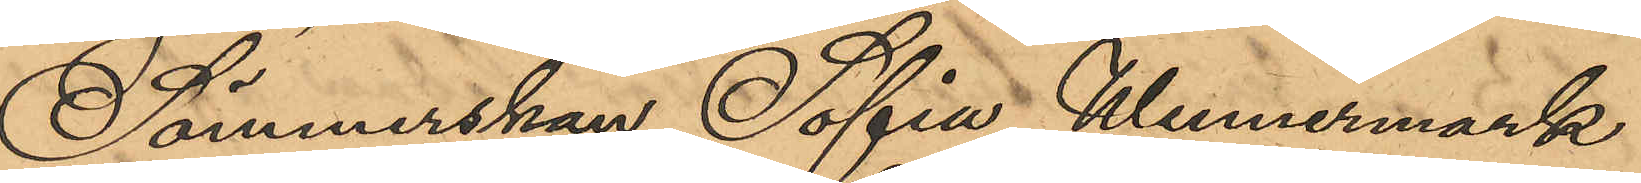Sömmerskan Sofia Wennermark
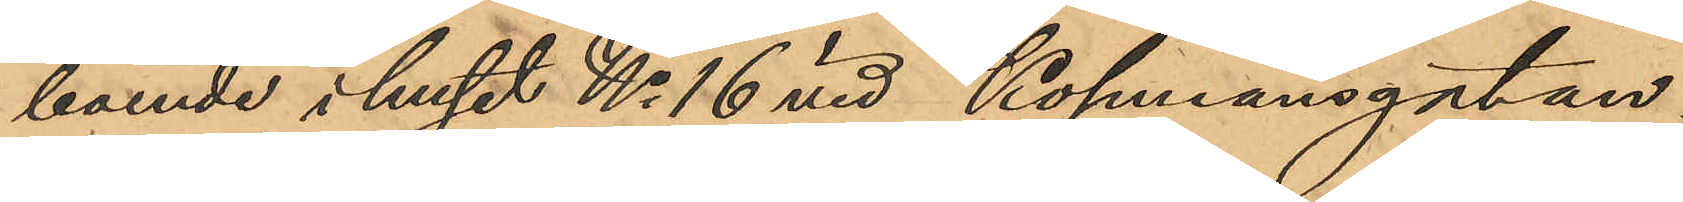boende i huset No 16 vid Köpmansgatan,
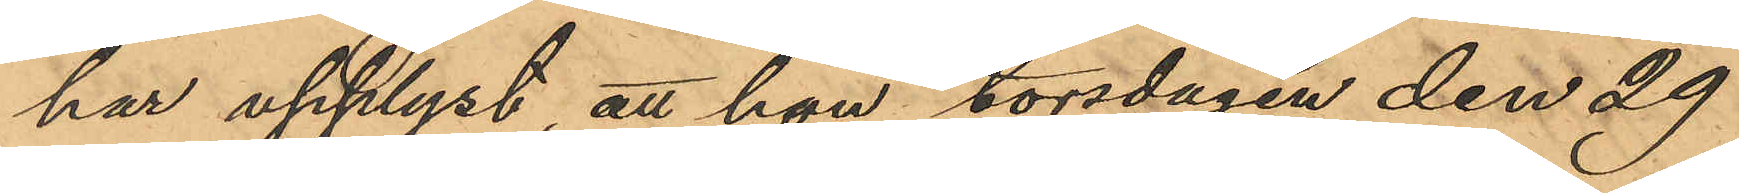har upplyst att hon torsdagen den 29
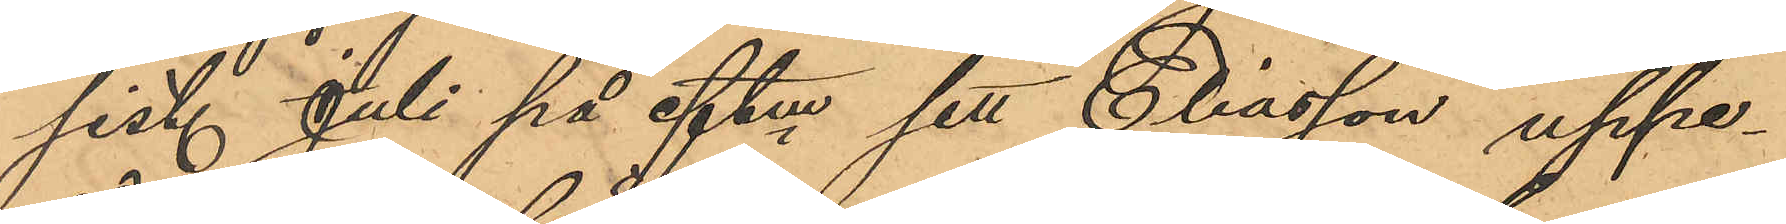sist. Juli på eftm sett Eliasson uppe¬
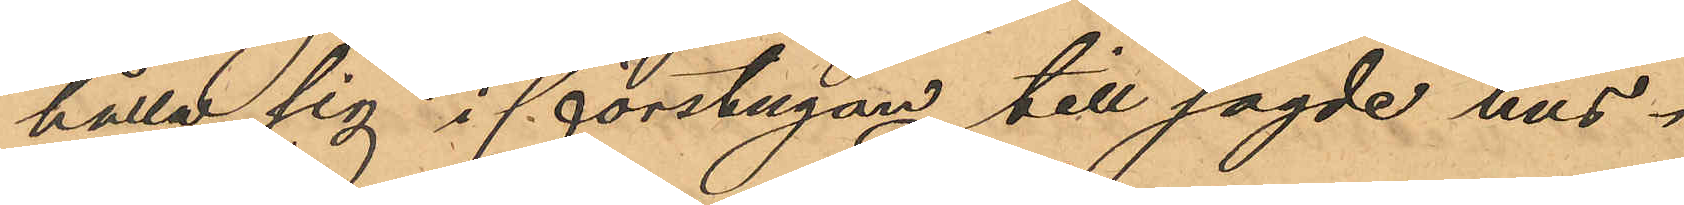hålla sig i förstugan till sagde hus.
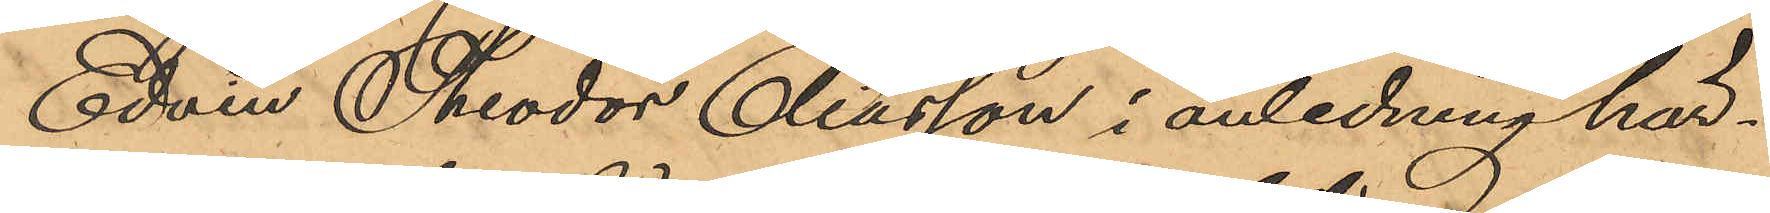Edvin Theodor Eliasson i anledning här¬
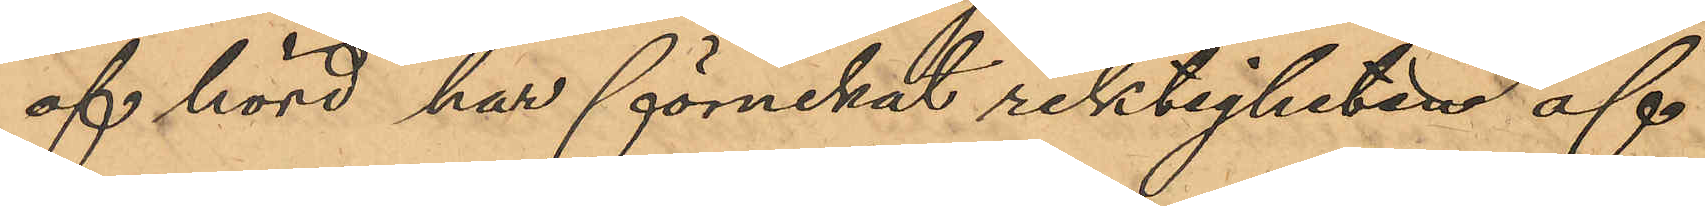af hörd, har förnekat riktigheten af
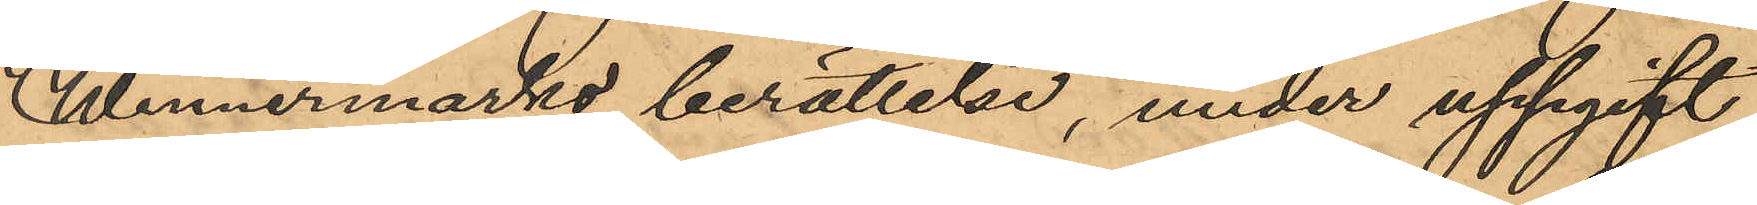Wennermarks berättelse, under uppgift
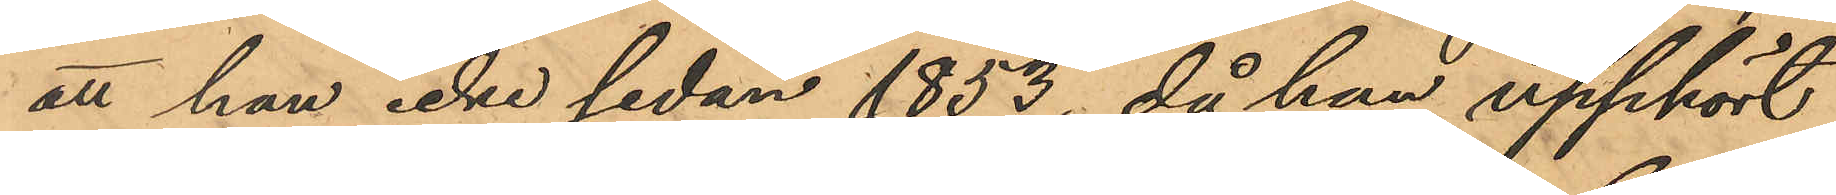att han icke sedan 1853, då han upphört
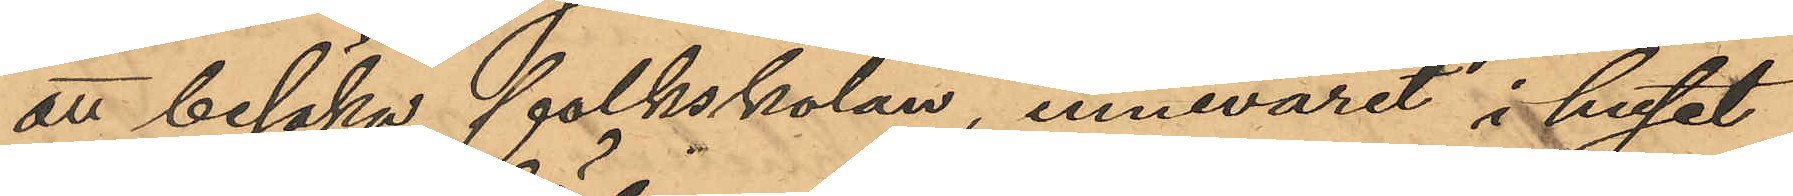att besöka folkskolan, innevarit i huset
